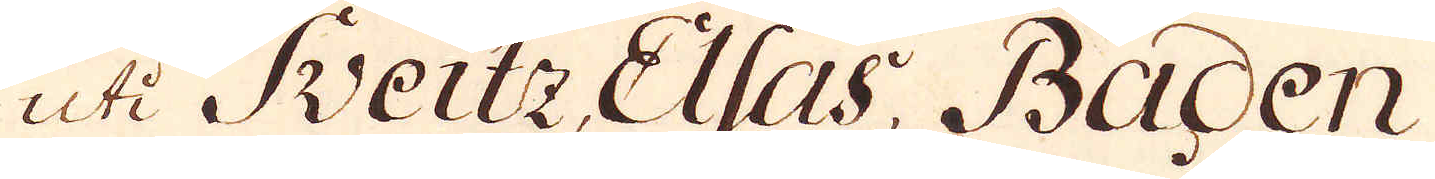uti Sveitz Elsas, Baden
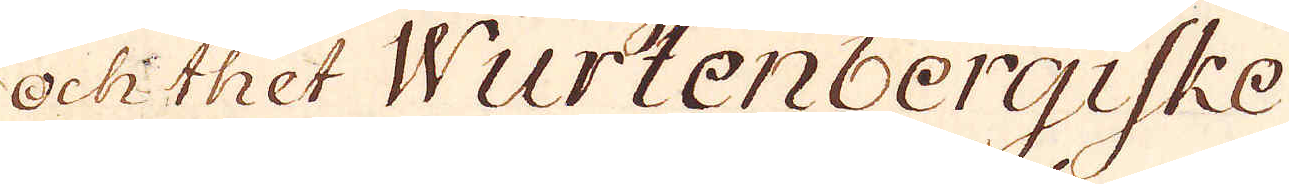och thet Wurtenbergiske
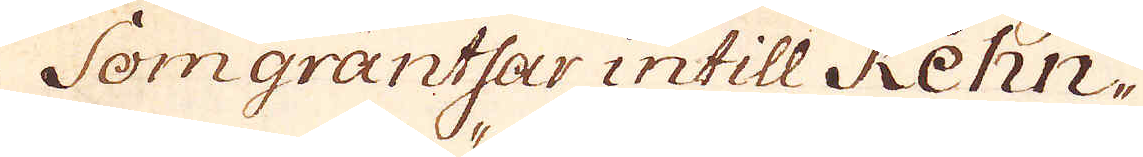Som gräntsar intill Rehn-
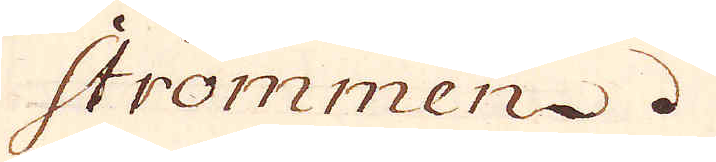strömmen.
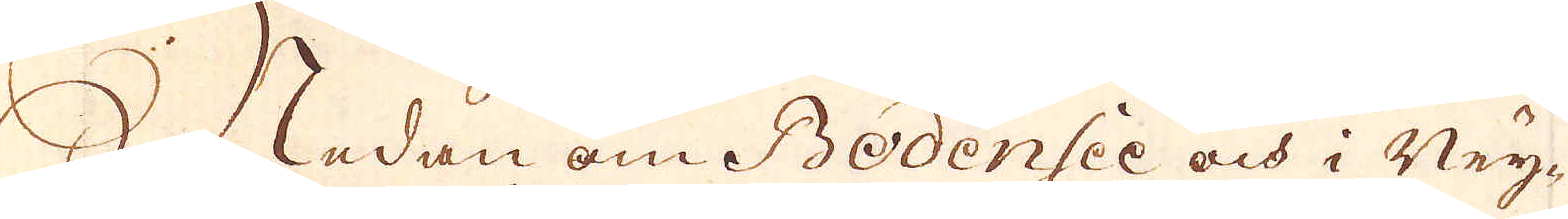Nedan om Bodensee och i Ney-
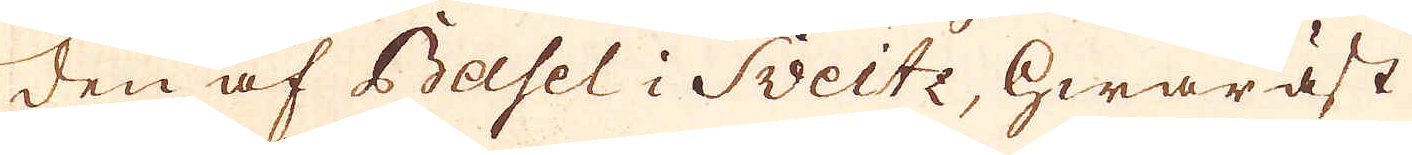den af Basel i Sveitz, hwaräst
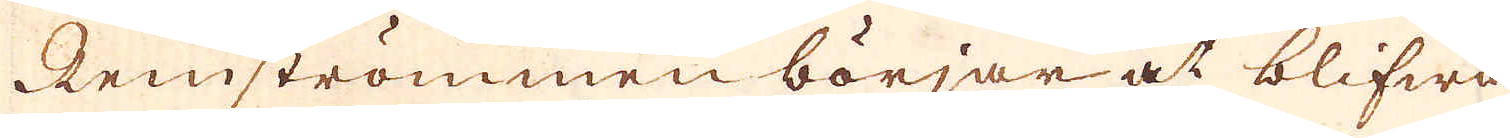Reinströmmen börjar at blifwa
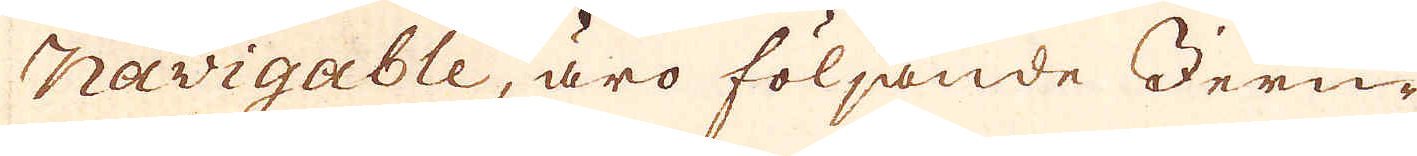navigable, äro följande Jern-
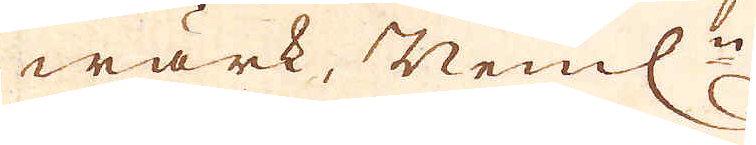wärk, Neml:n
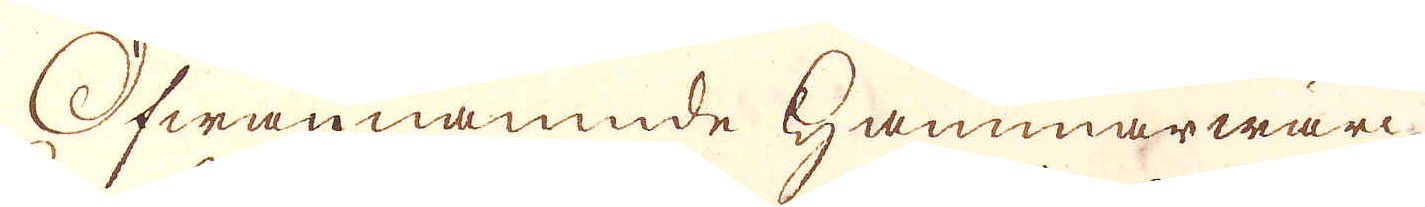Ofwannämnde Hammarwärc-
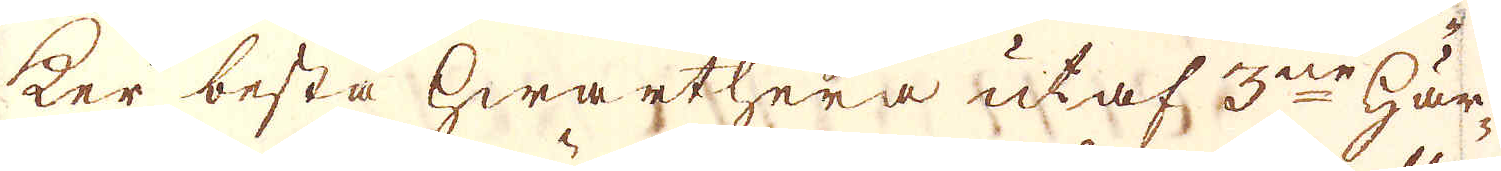ker bestå hwarthera utaf 3ne Här-
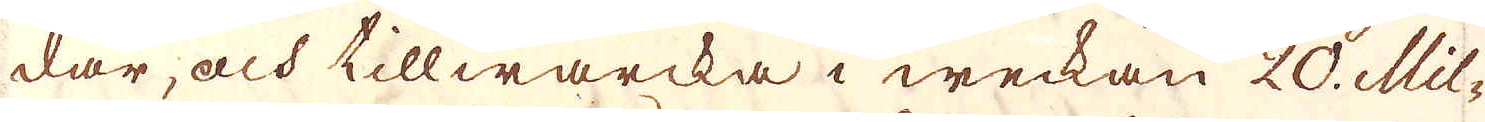dar, och tillwärcka i weckan 20. Mil-
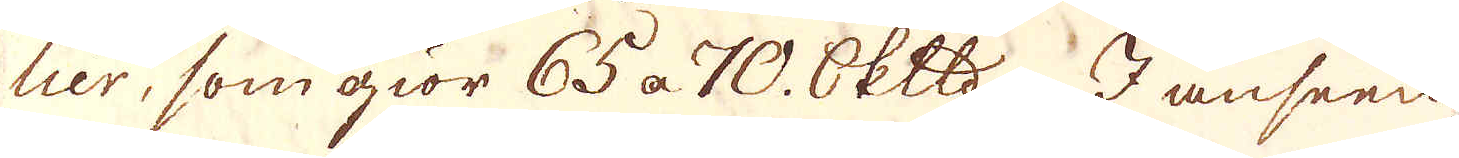lier, som giör 65 a 70. Skeppund I anseen-
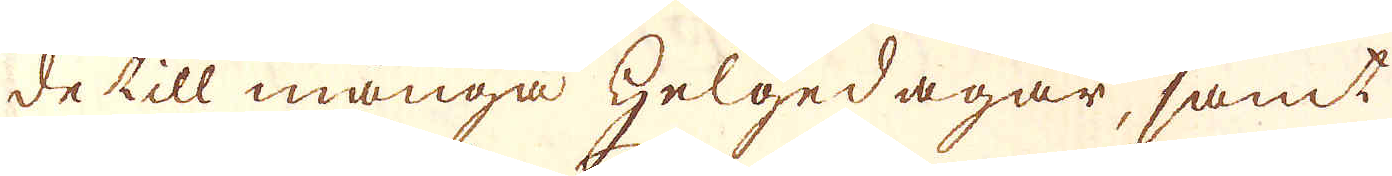de till många helgedagar, samt
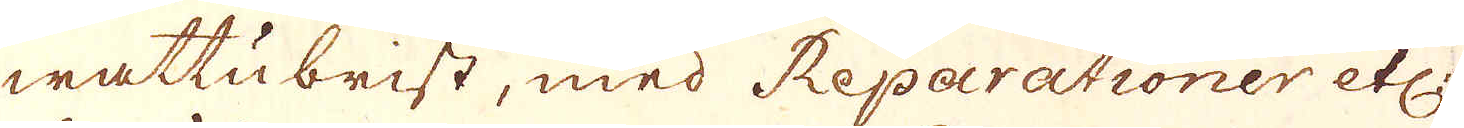wattubrist, med Reparationer etc:
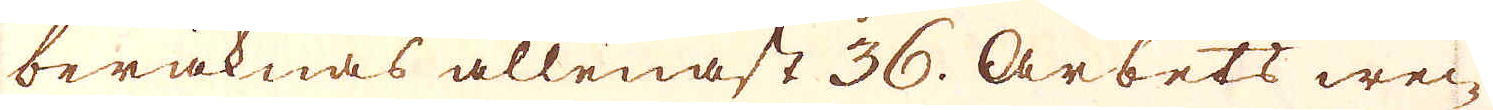beräknas allenast 36. Arbets wec-
